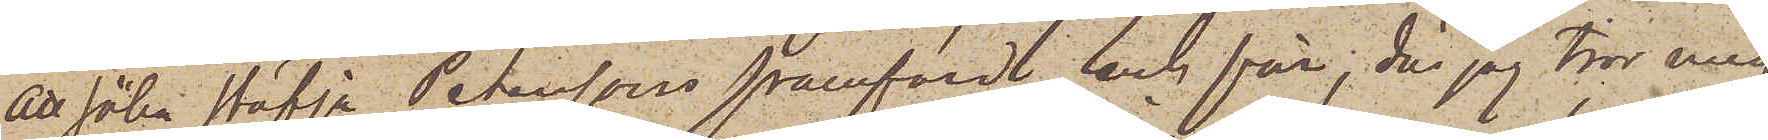att söka stäfja Peterssons framfärd, och får, då jag tror mig
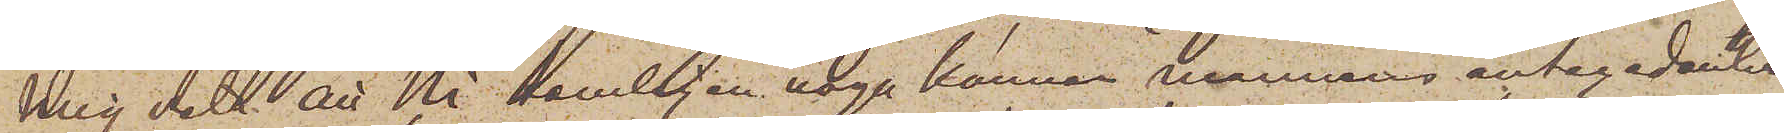mig veta att Ni temligen noga känner mannens antecedentia
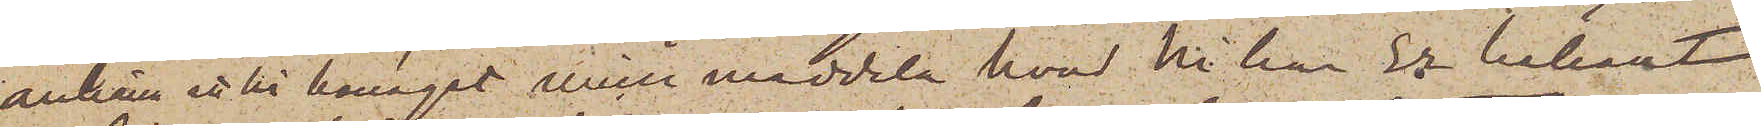anhålla att Ni benäget ville meddela hvad Ni har Er bekant
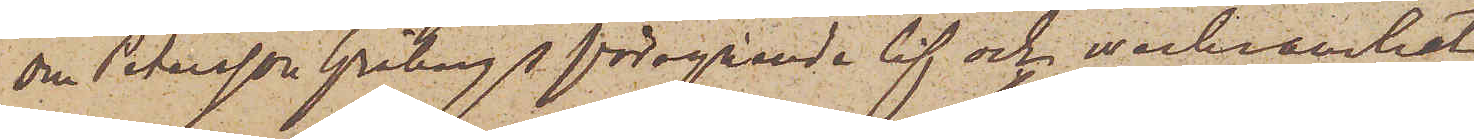om Petersson Gråbergs föregående lif och werksamhet.
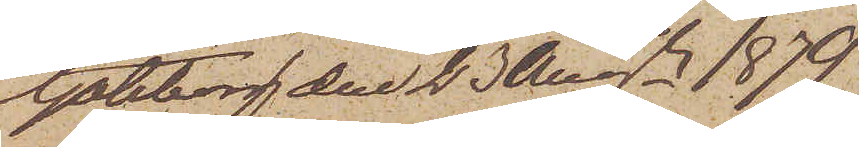Göteborg den 23 Augsti 1879
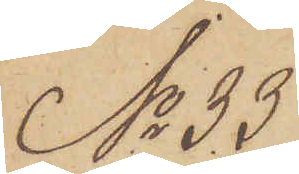No 33
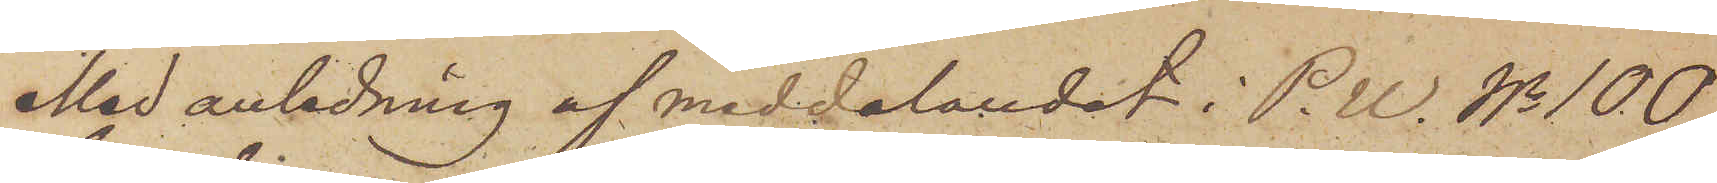Med anledning af meddelandet i P.U. No 100
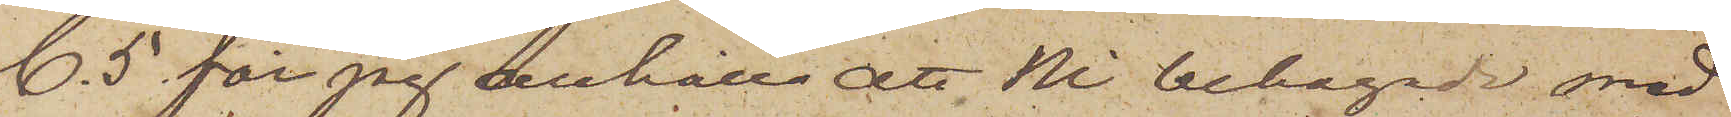C. 5 får jag anhålla att Ni behagade med
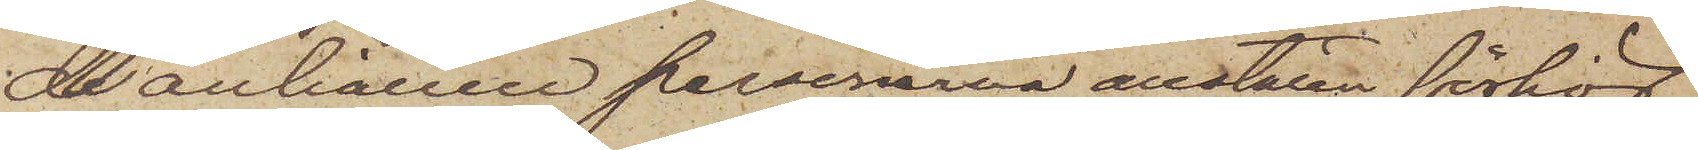de anhållne personerna anställa förhör
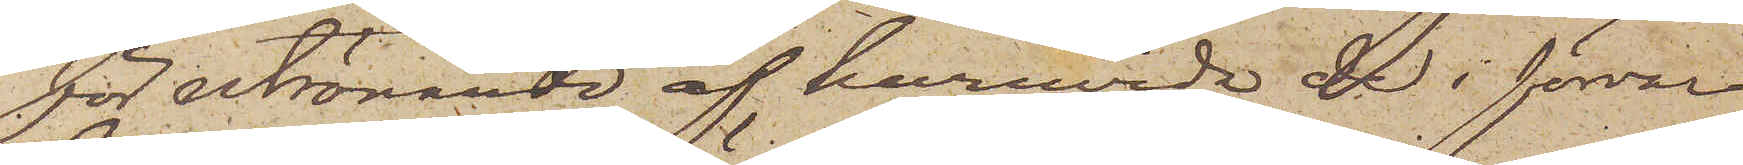för utrönande af huruvida de i förvar
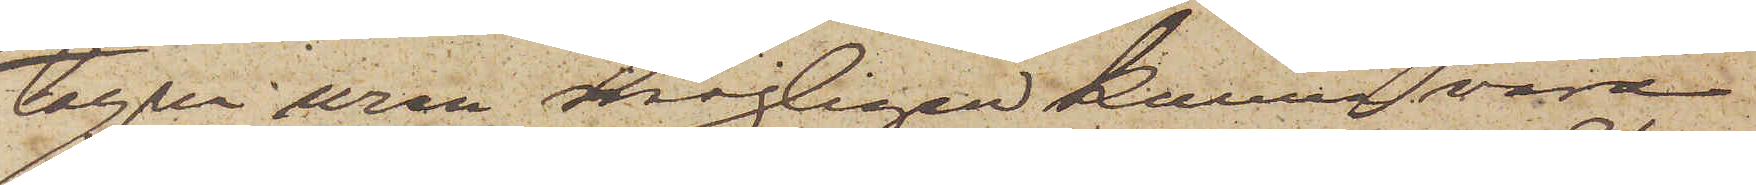tagna uren möjligen kunna vara
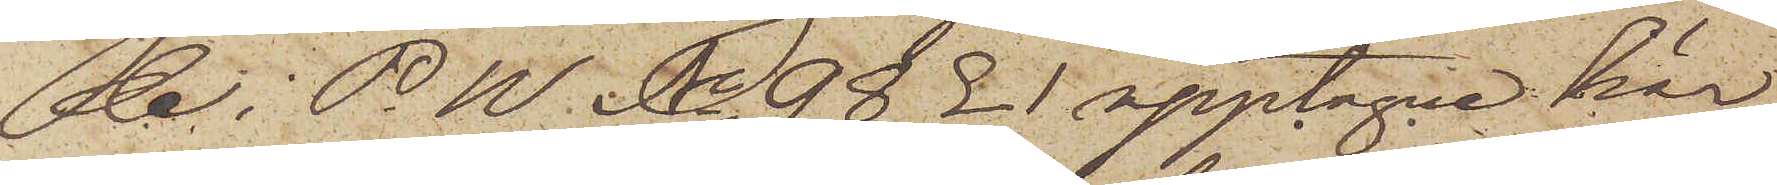de i P.U. No 98  L 1 upptagne här
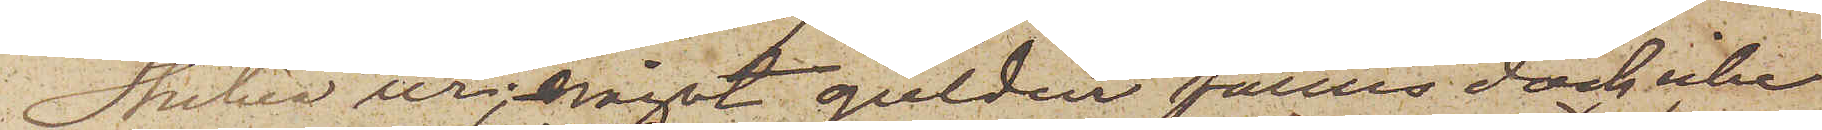stulna ur; något guldur fanns dock icke
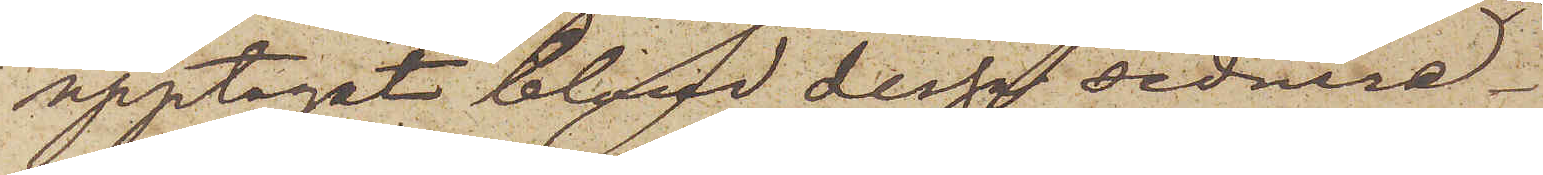upptaget bland dessa sednare.
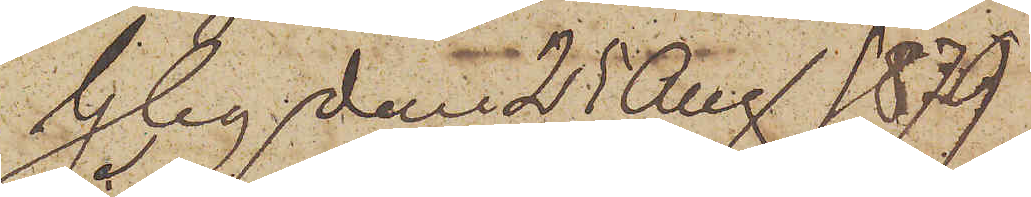Gbg den 25 Aug 1879.
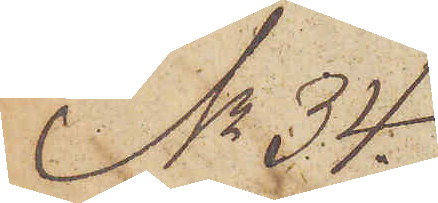No 34.
